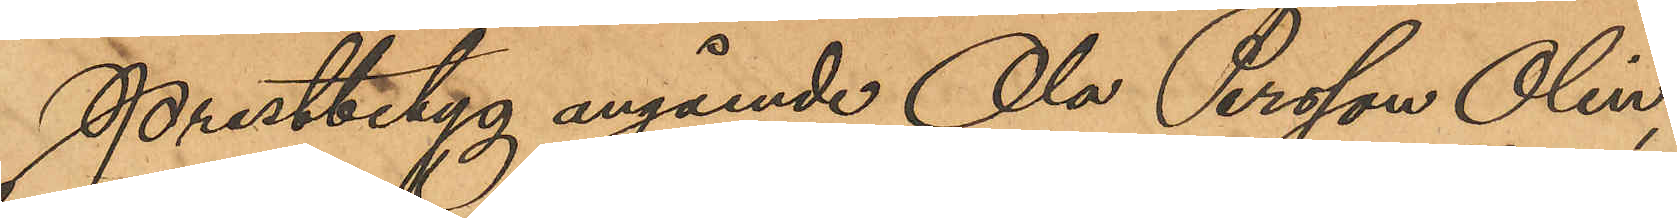Prestbetyg angående Ola Persson Olin,
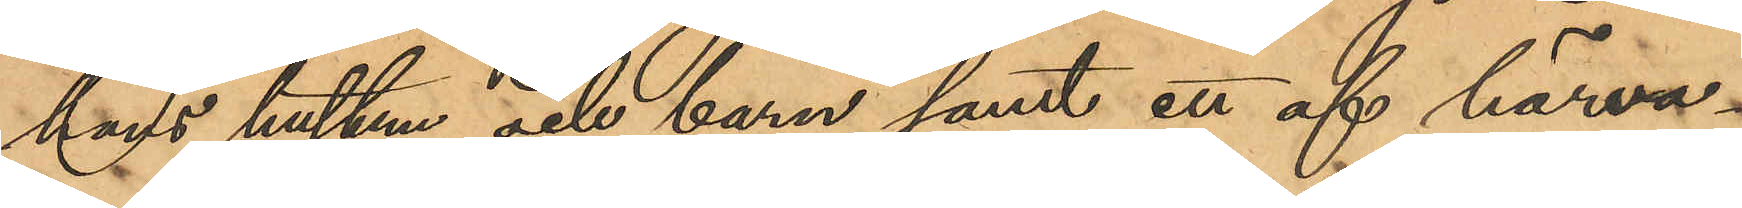hans hustru och barn samt ett af härva¬
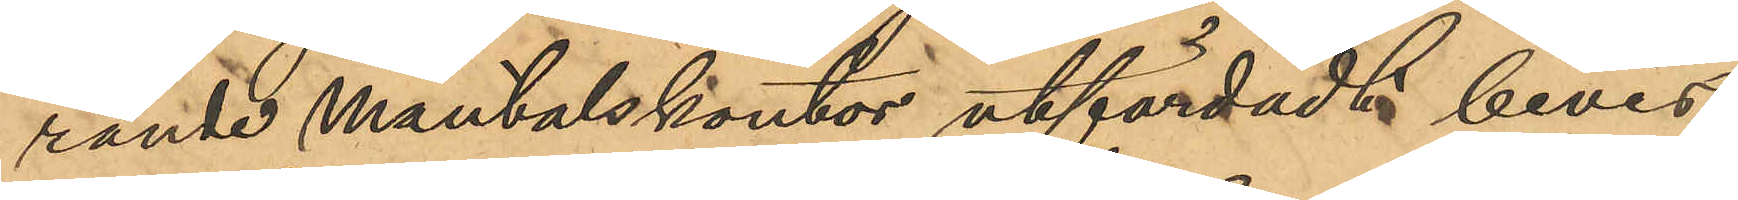rande mantalskontor utfärdadt bevis,
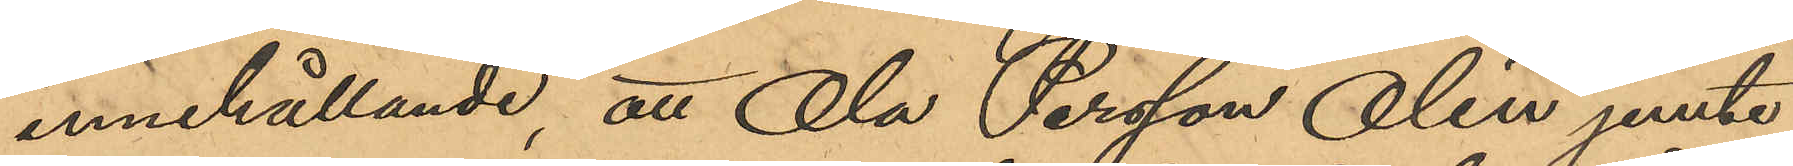innehållande, att Ola Persson Olin jemte
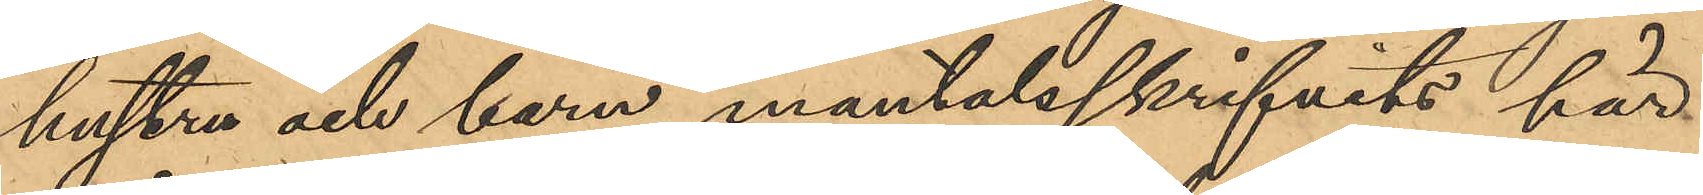hustru och barn mantalsskrifvits här
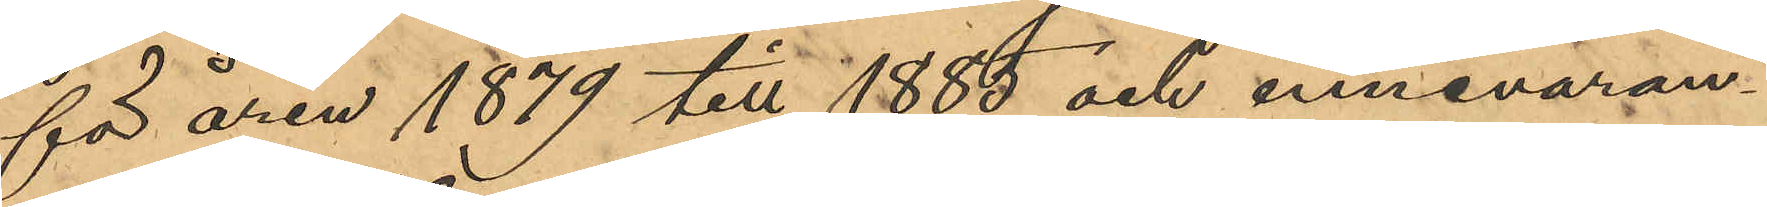för åren 1879 till 1888 och innevaran¬
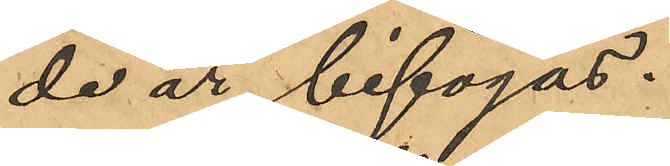de år, bifogas.
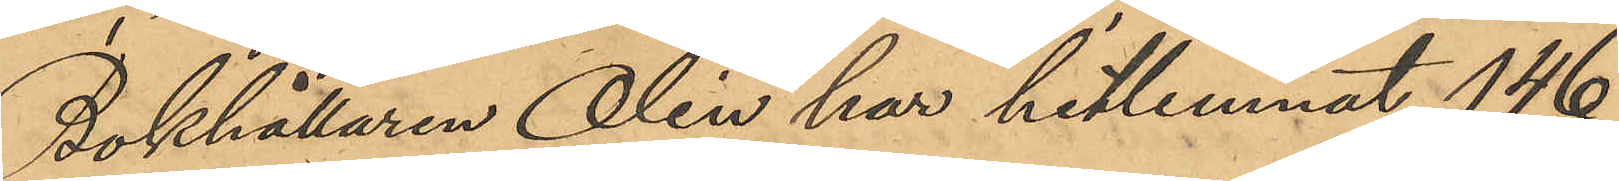Bokhållaren Olin har hitlemnat 146
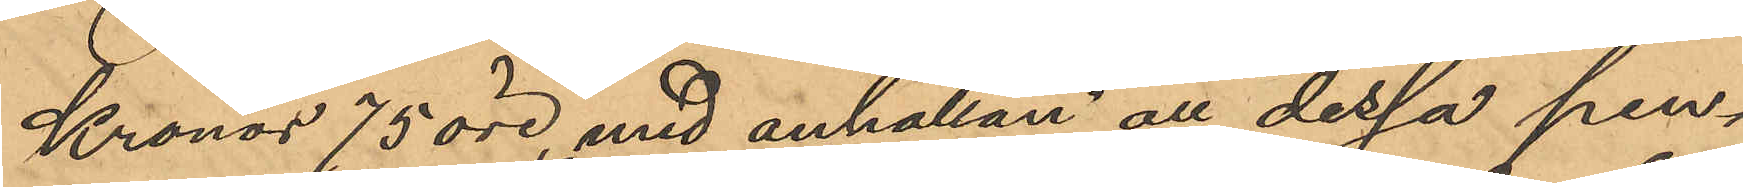Kronor 75 öre, med anhållan att dessa pen¬
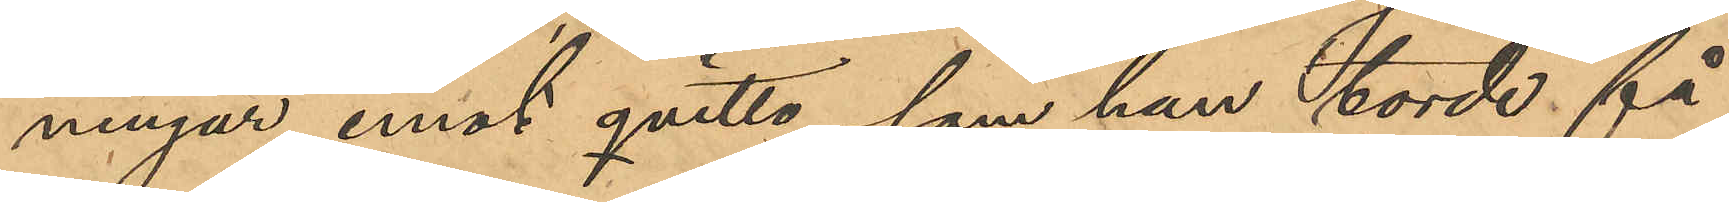ningar emot qvitto, som han torde få
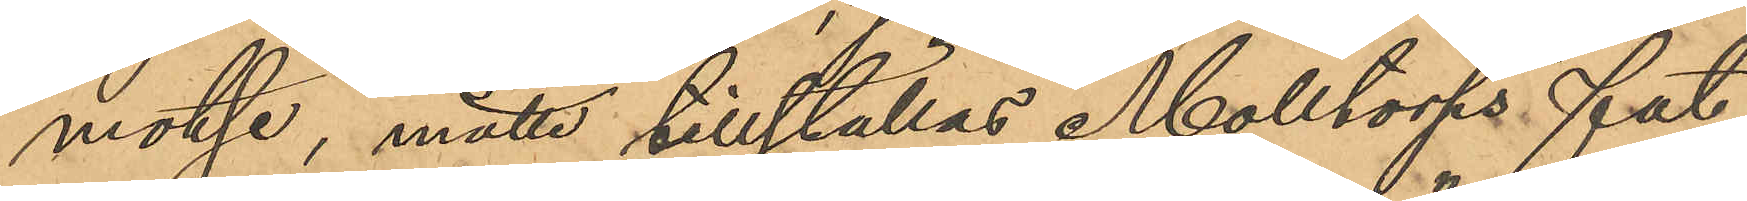motse, måtte tillställas Molltorps fat¬
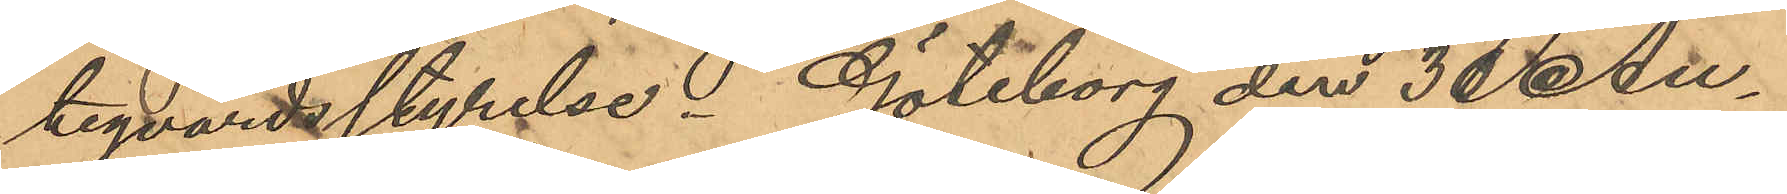tigvårdsstyrelse. Göteborg den 30 Au¬
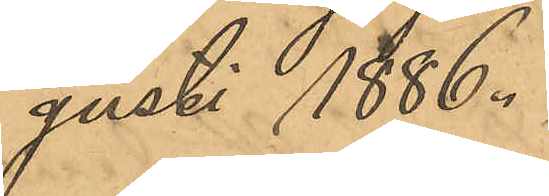gusti 1886.
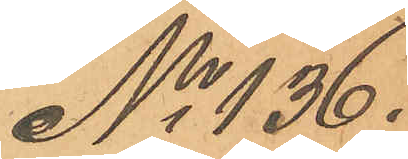No 136.
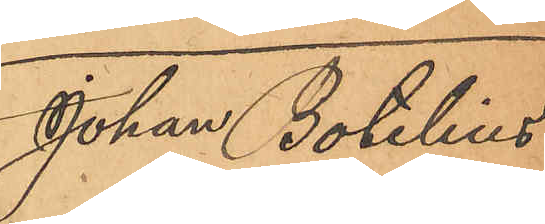Johan Botelius
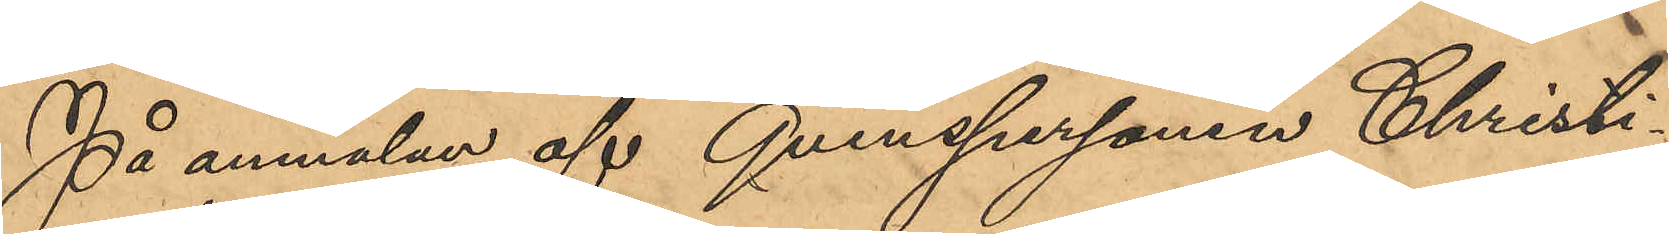På anmälan af Qvinspersonen Christi¬
